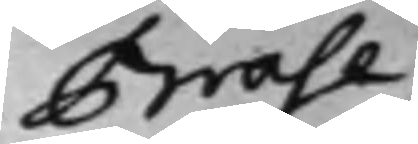Brahe
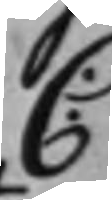C:
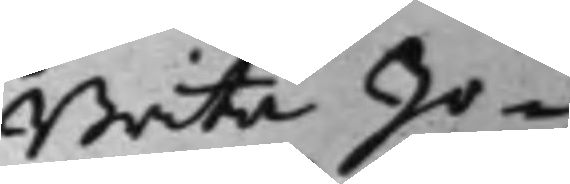Brita Jo¬
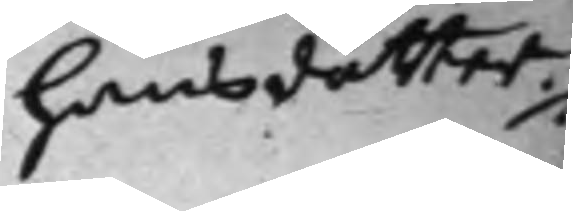hansdotter
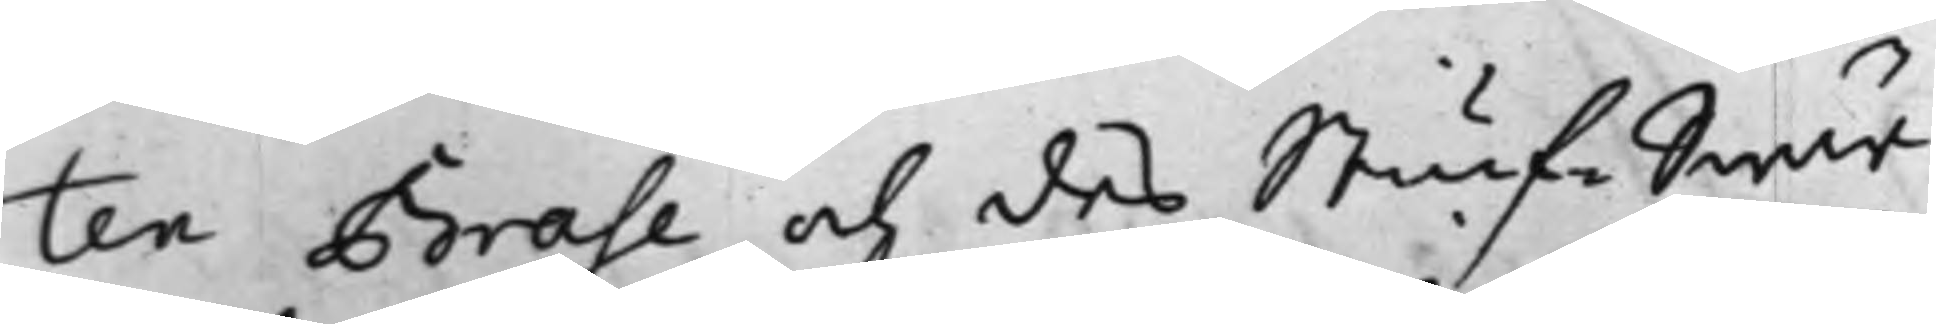ten Brahe och des StiufSwär¬
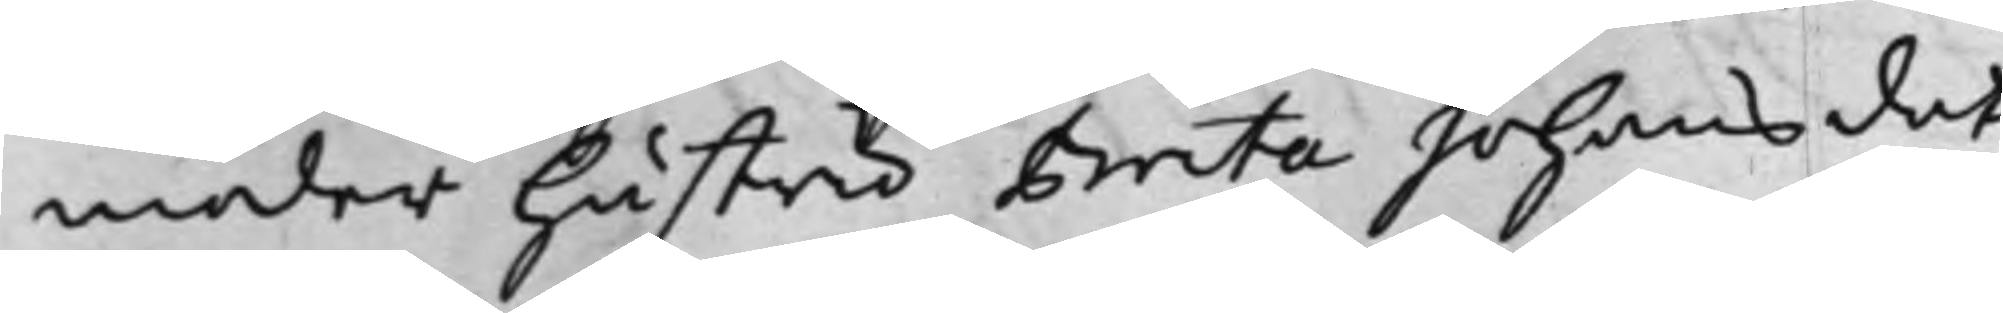moder hustru Brita Johansdot¬
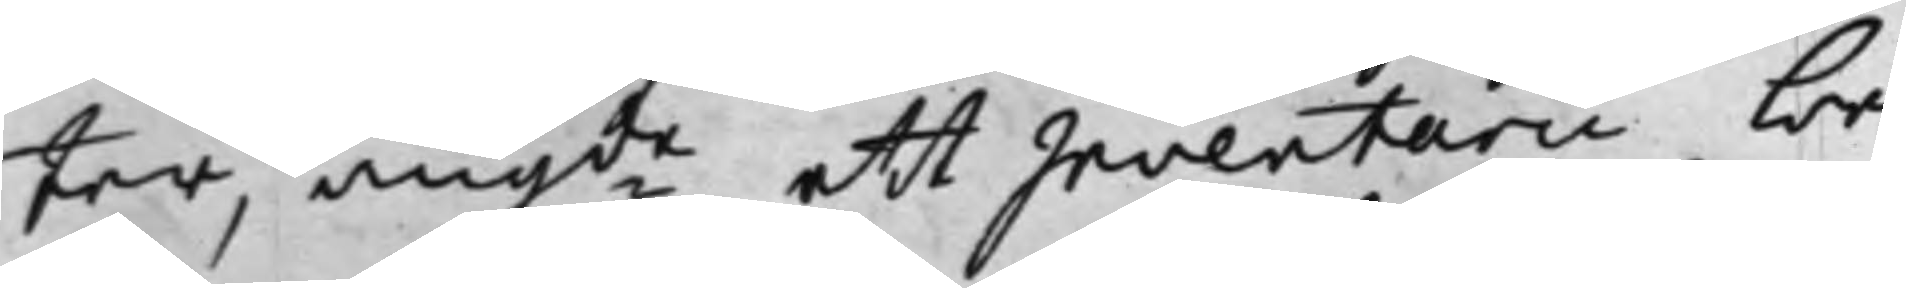ter, angde ett Inventarii be¬
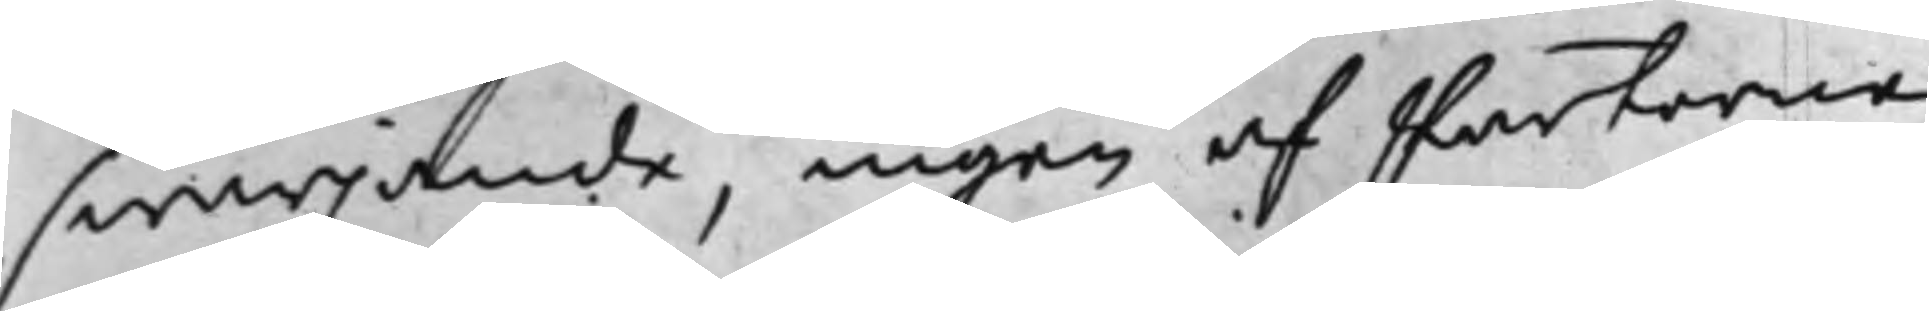swarjande, ingen af Parterne
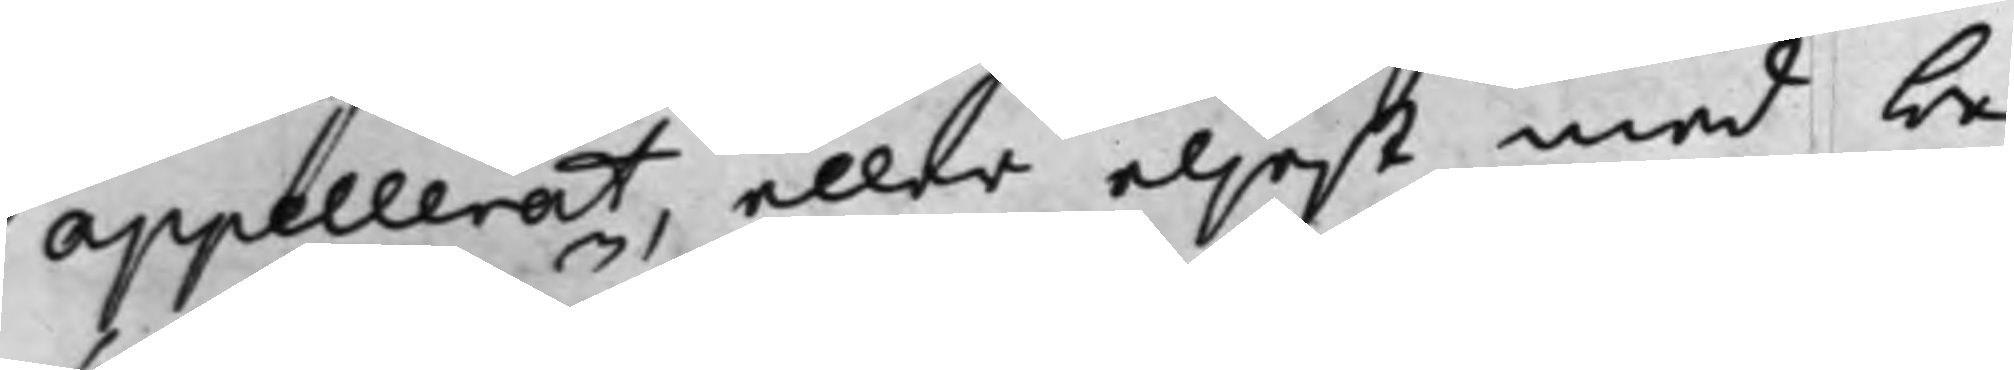appellerat, eller eljest med be¬
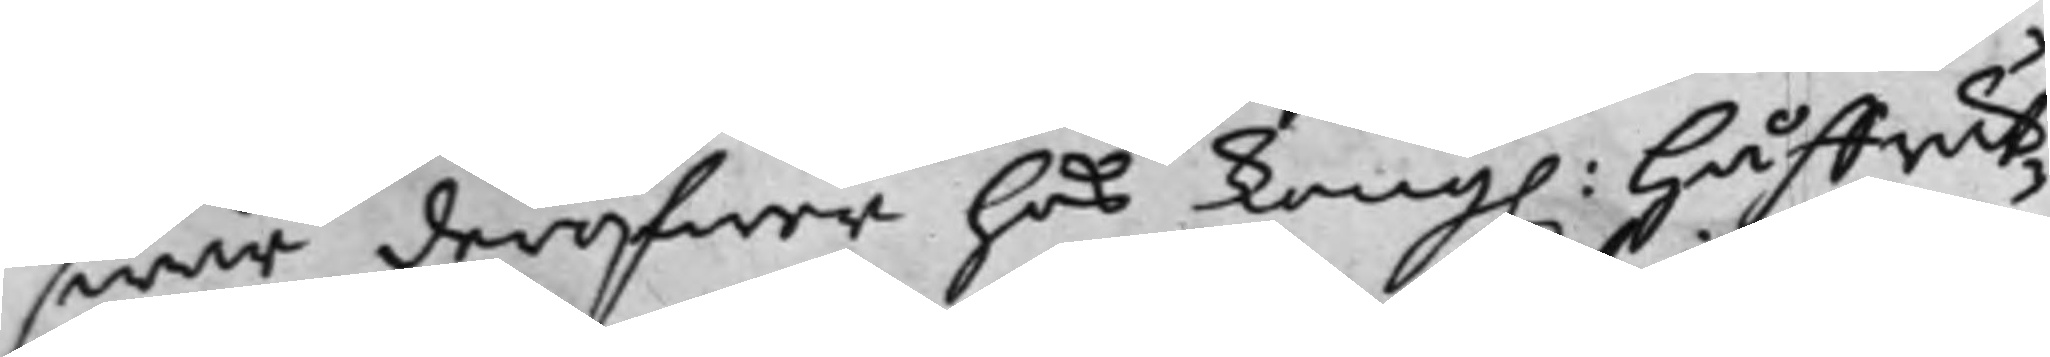swär deröfwer hos Kong. Håffrät¬
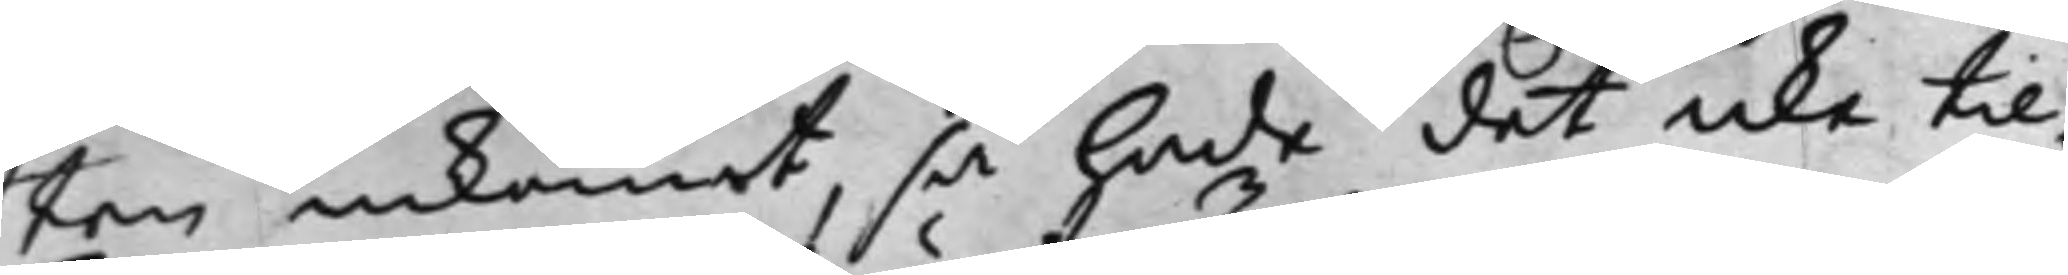ten inkommit, så hade det icke til¬
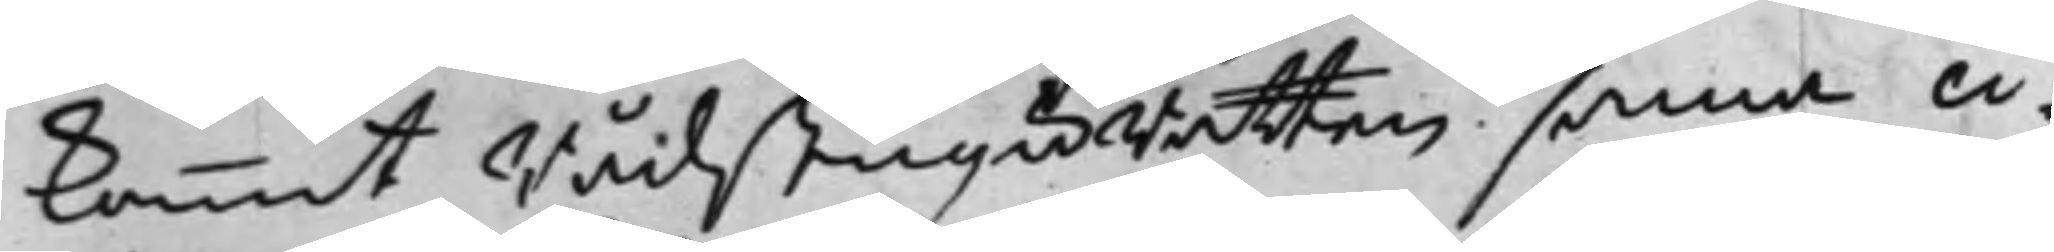kommit RådstuguRättens samma ci¬
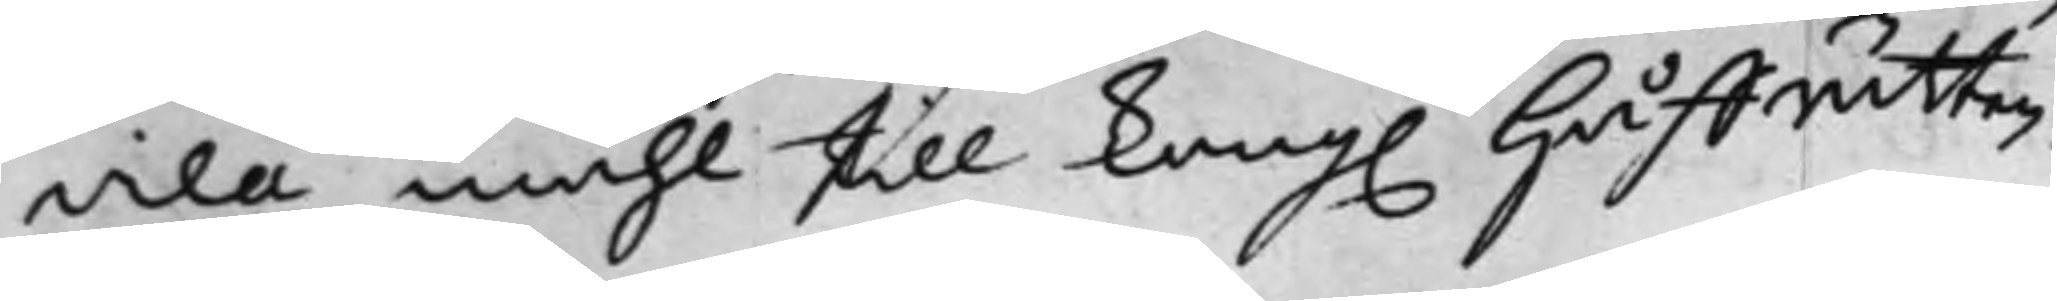vila måhl till Kong. Håffrätten
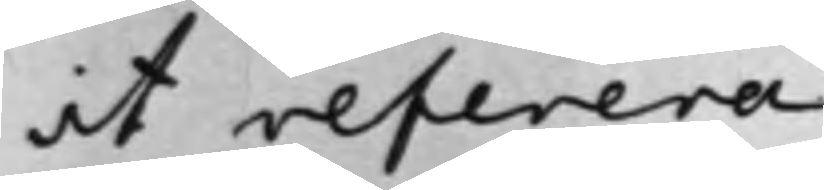at referera.
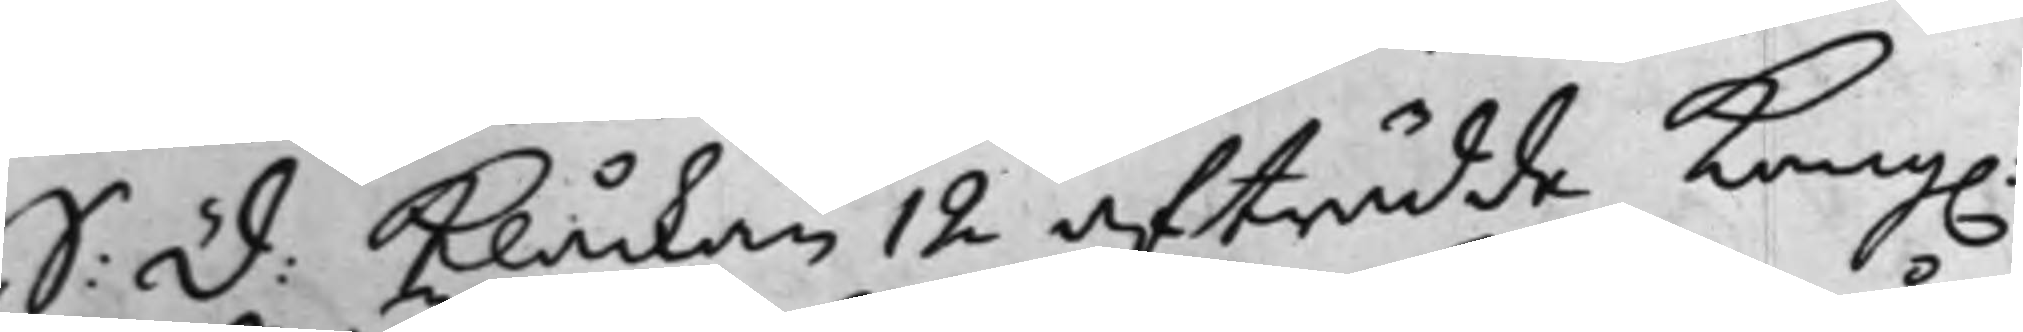S: d: Klåckan 12 afträdde Kong.
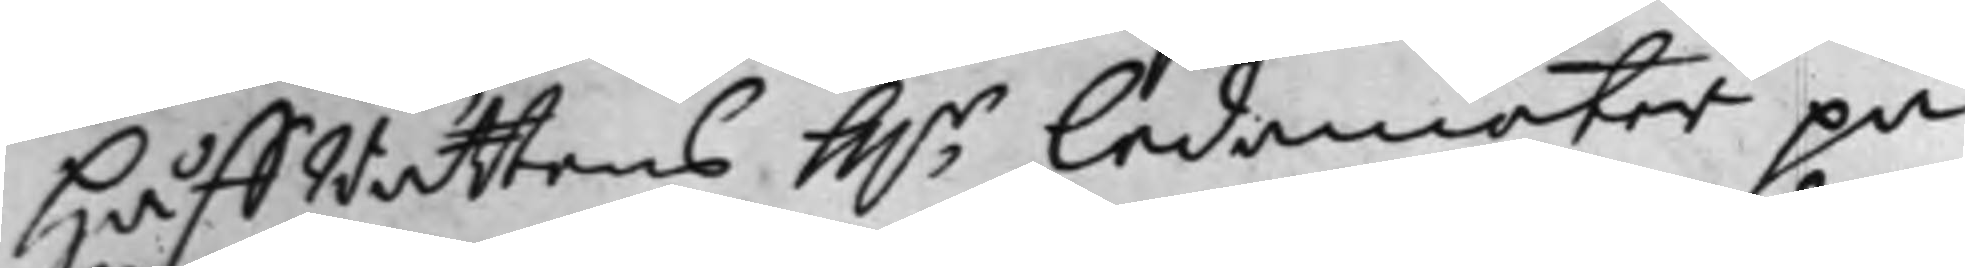HåffRättens Hh.r Ledamöter på
